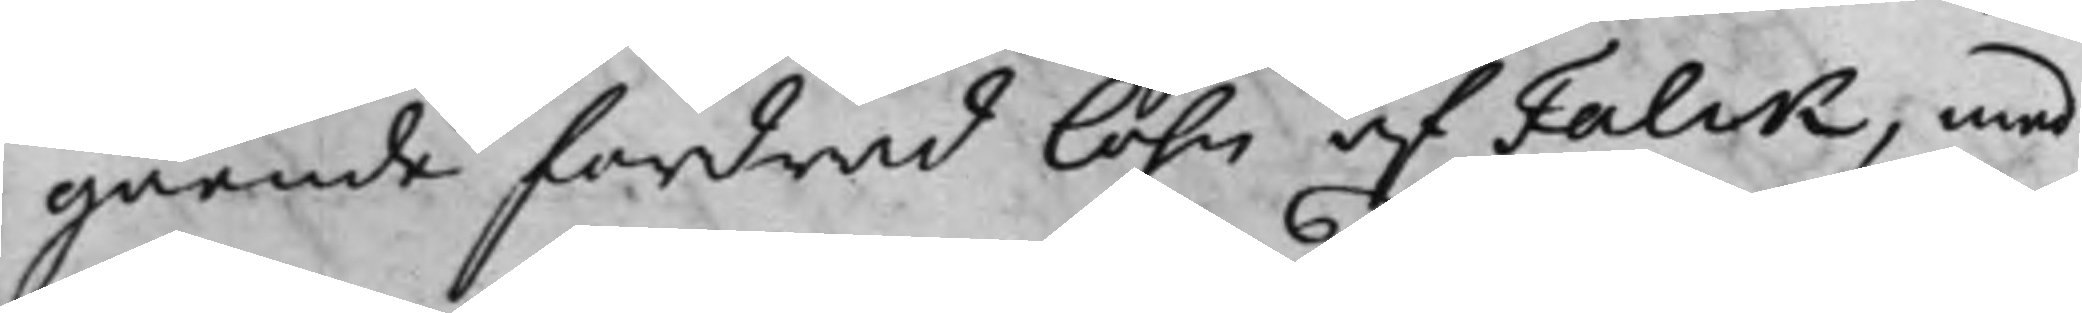gående fordrad löhn af Falck, med
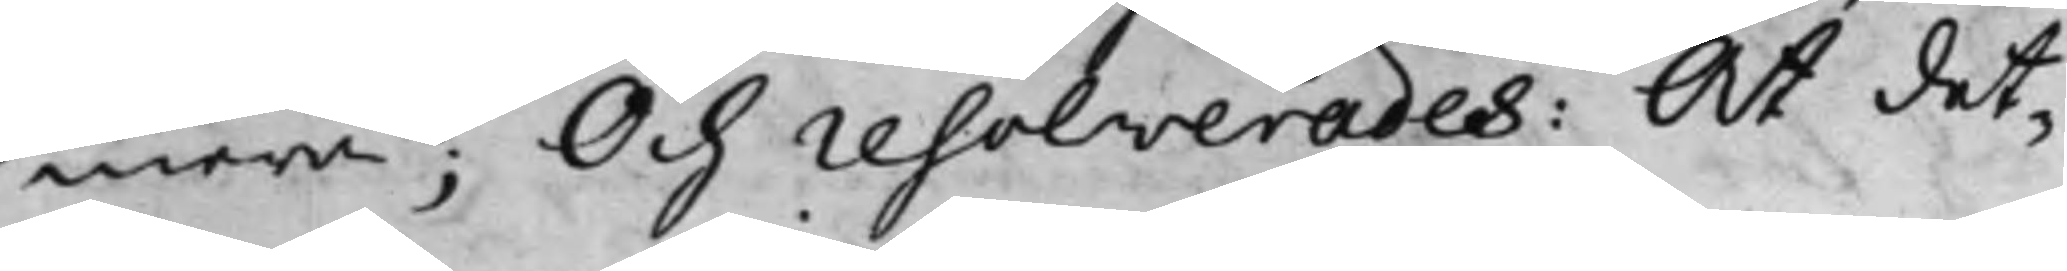mera; Och resolverades: At det¬
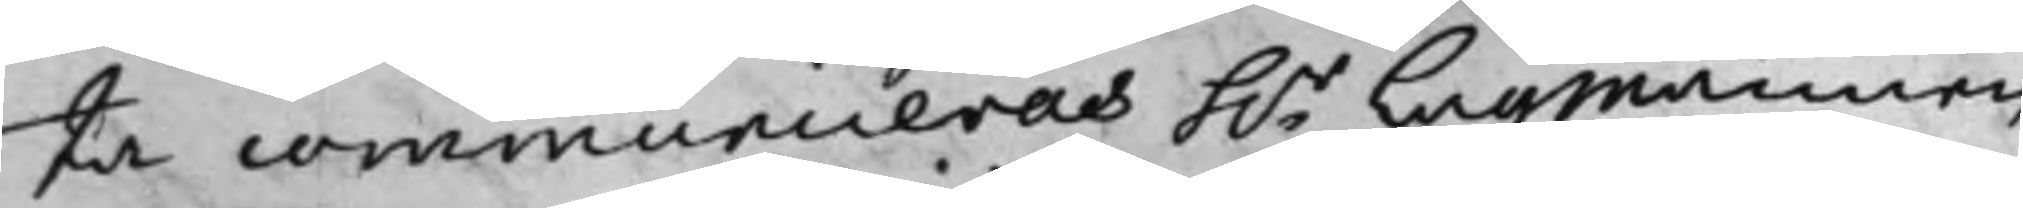ta communiceras h.r Lagmannen 
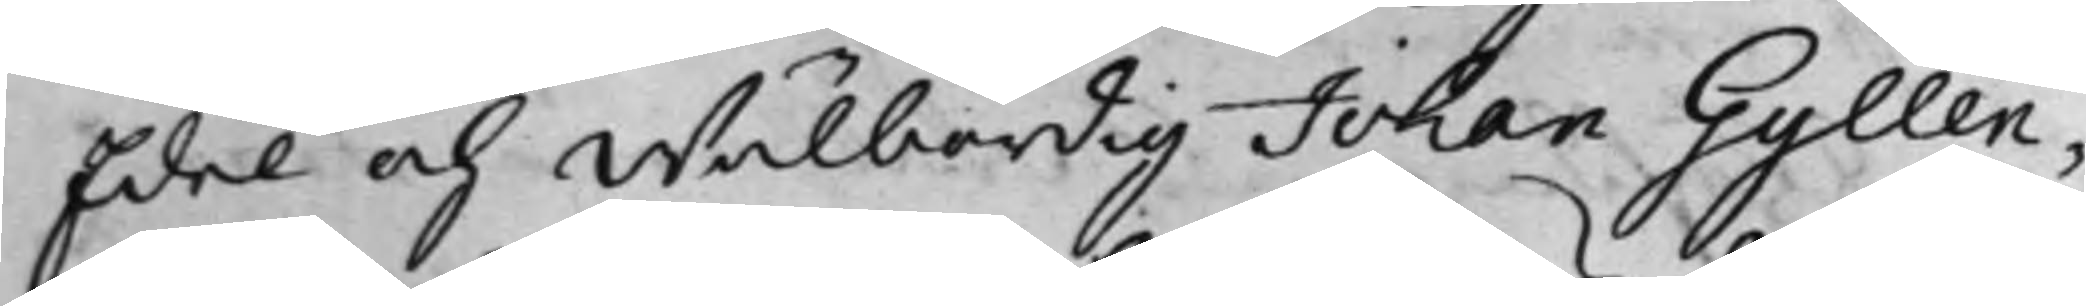Edel och Wälbördig Johan Gyllen¬
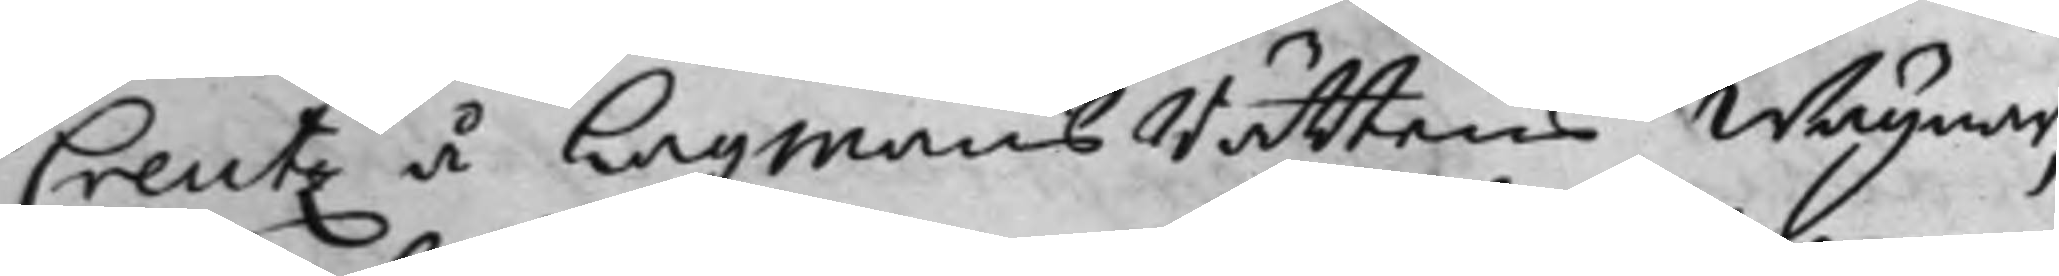Creutz å LagmansRättens Wägnar,
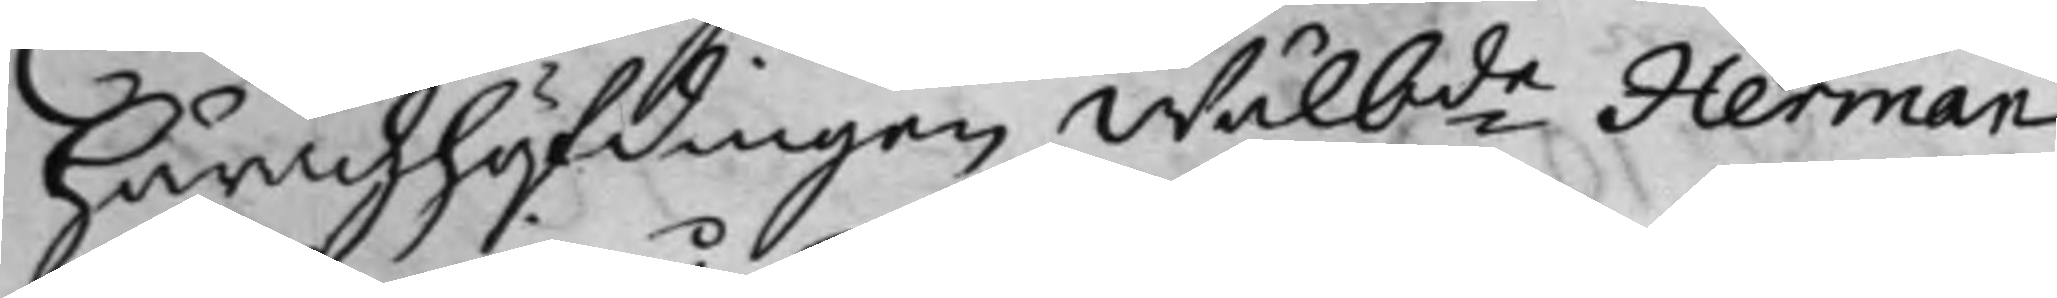Häradzhöfdingen Wälbde Herman 
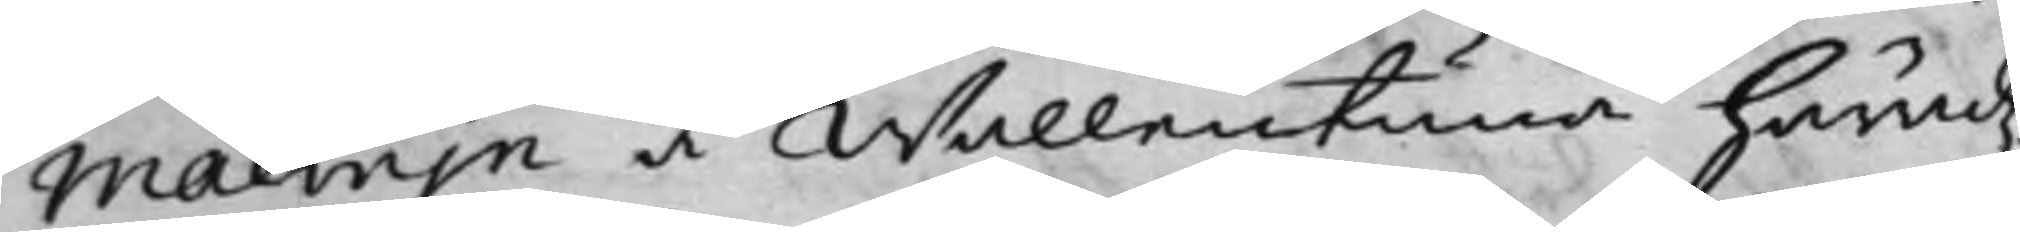Malmin å Wällentina Häradz¬
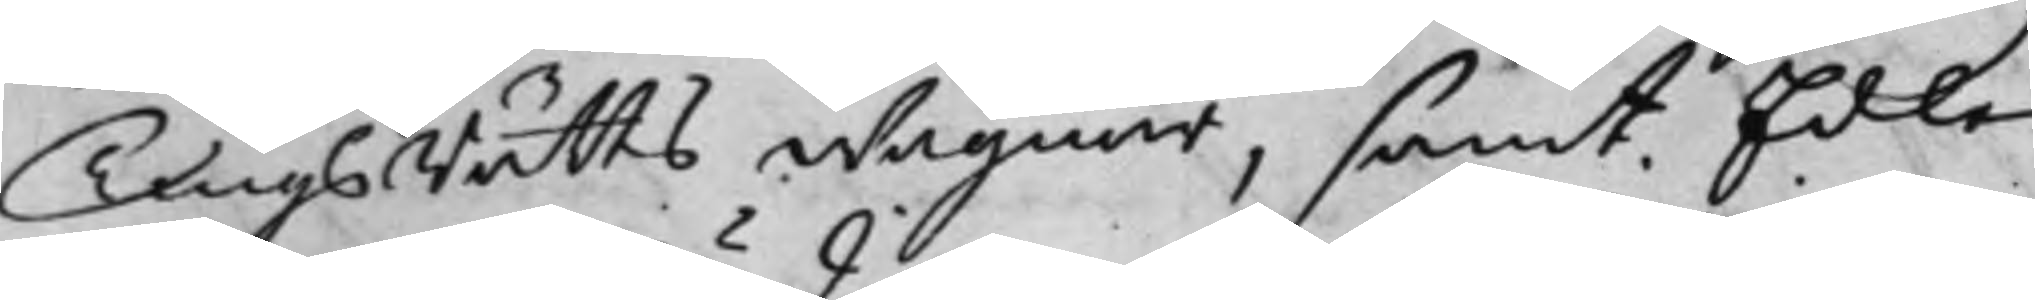TingsRätts wägnar, samt Edle
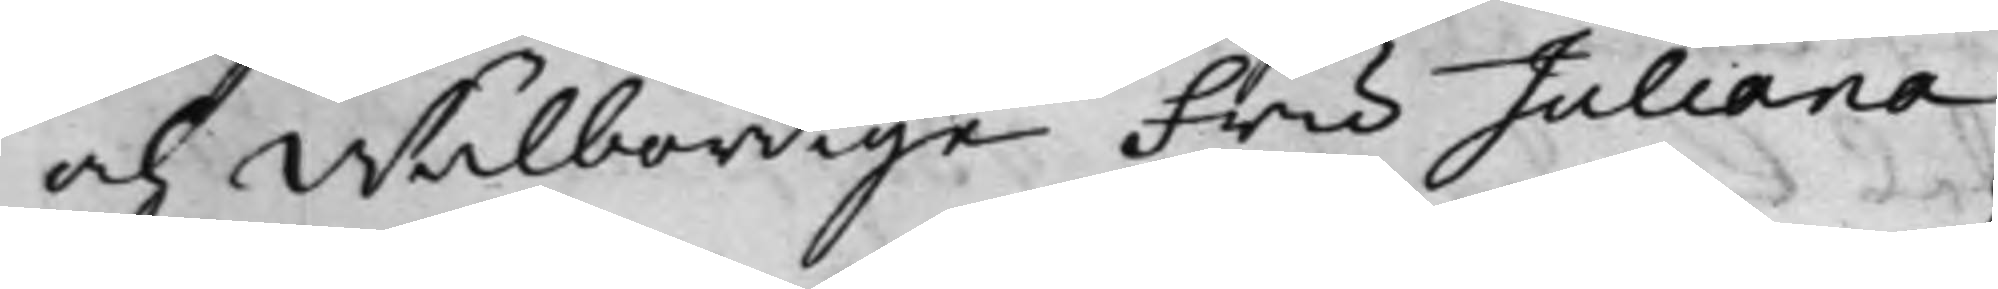och Wälbördige Fru Juliana
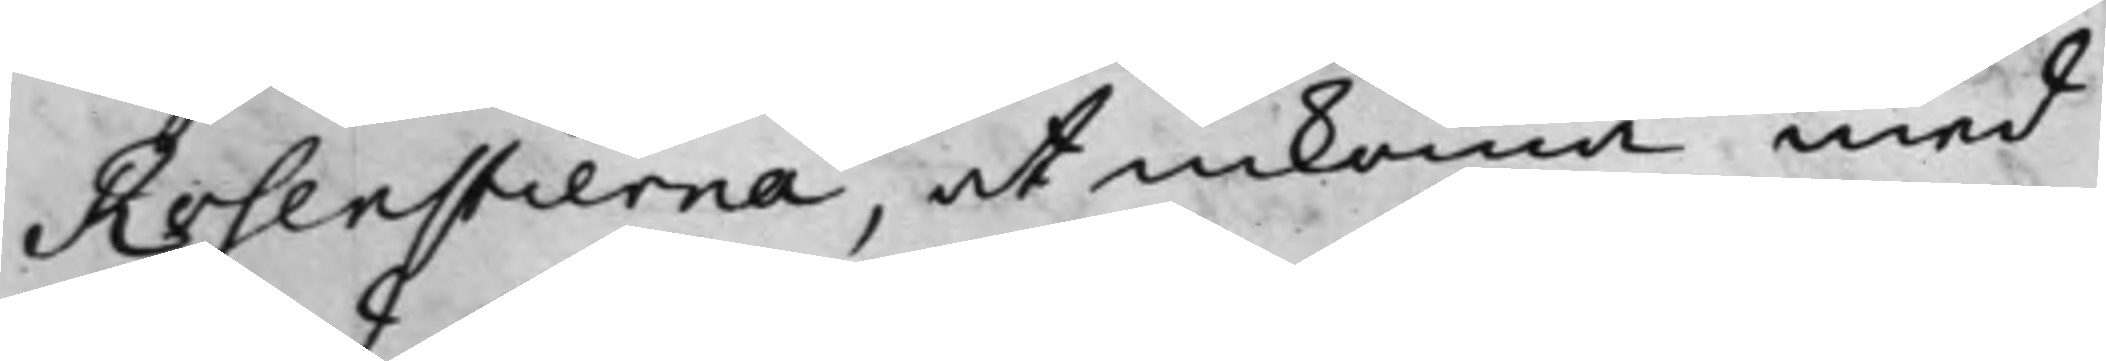Rosenstierna, at inkomma med
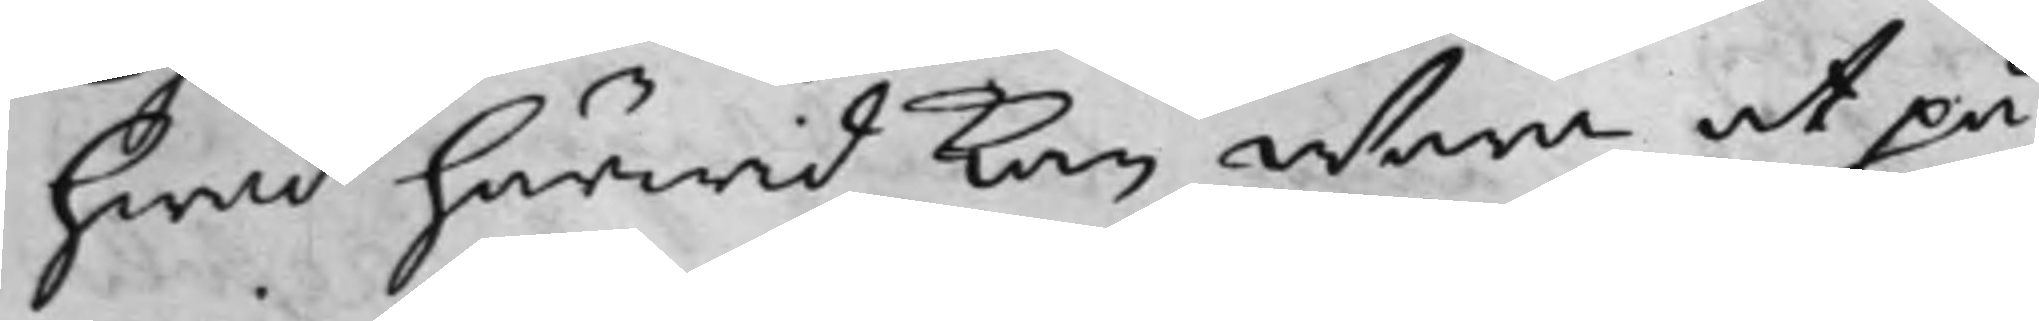hwad härwid kan wara at på¬
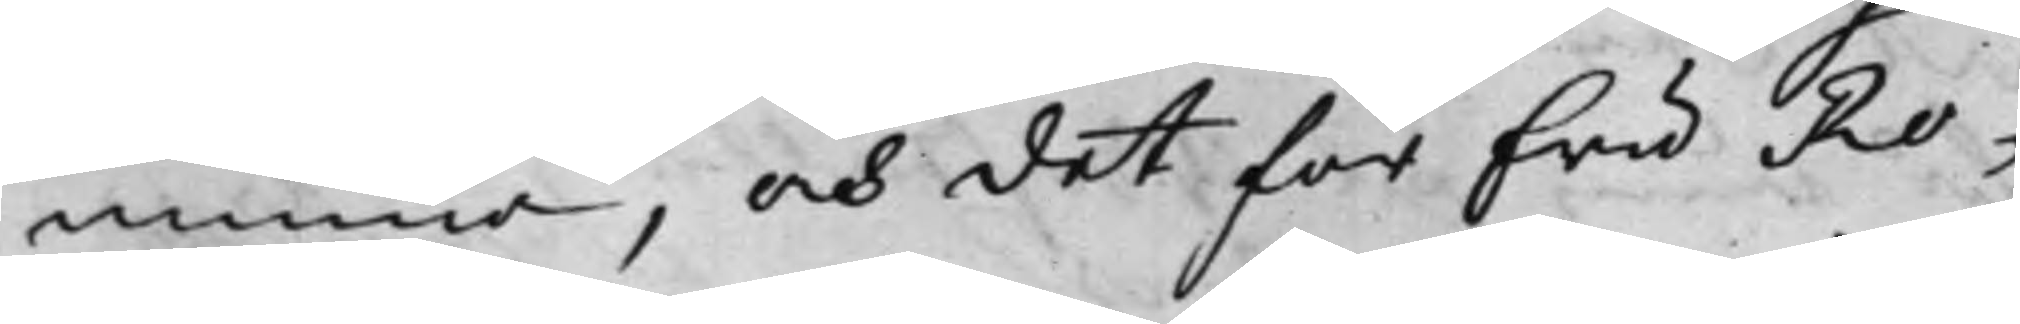minna, och det för fru Ro¬
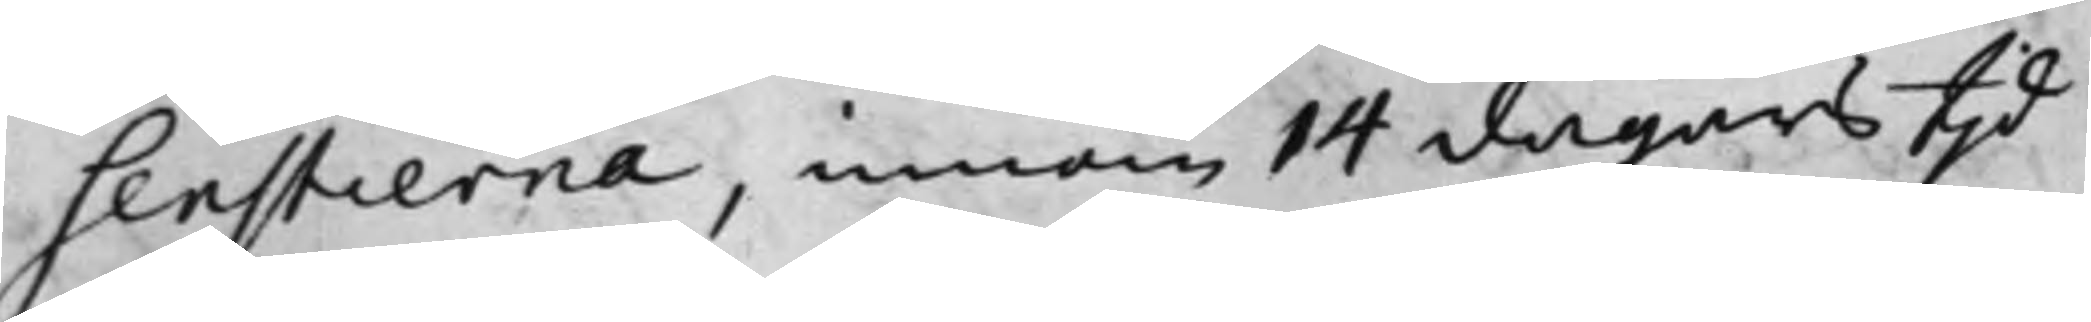senstierna, innom 14 dagars tjd
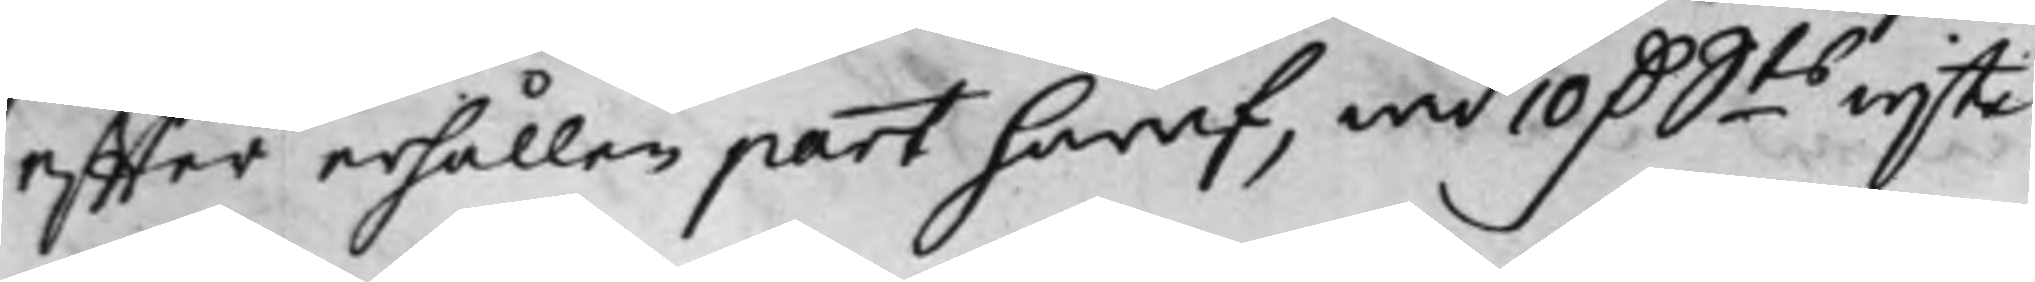effter erhållen part häraf, wid 10 D.ts wijte 
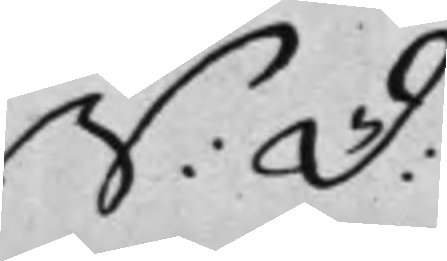S: D: 
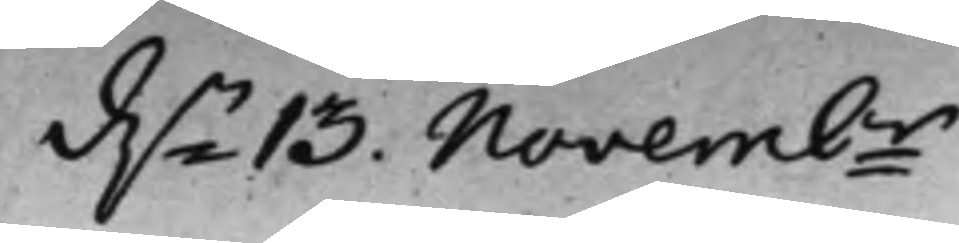d.n 13 Novembr. 
